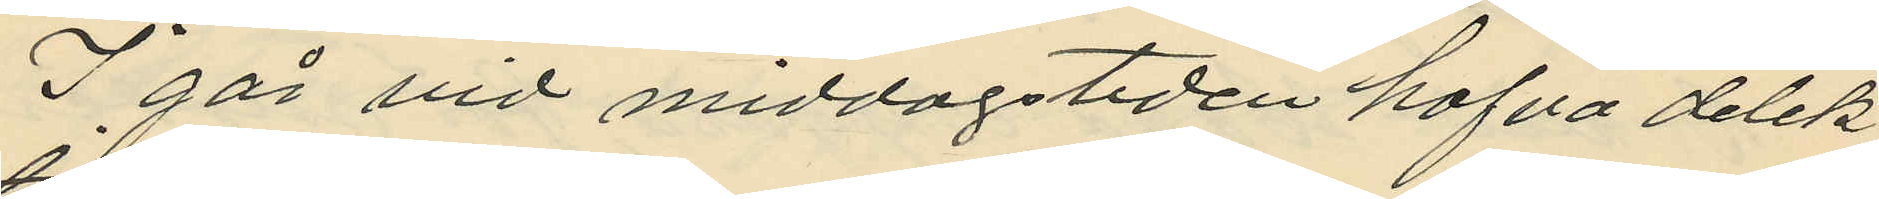I går vid middagstiden hafva detek
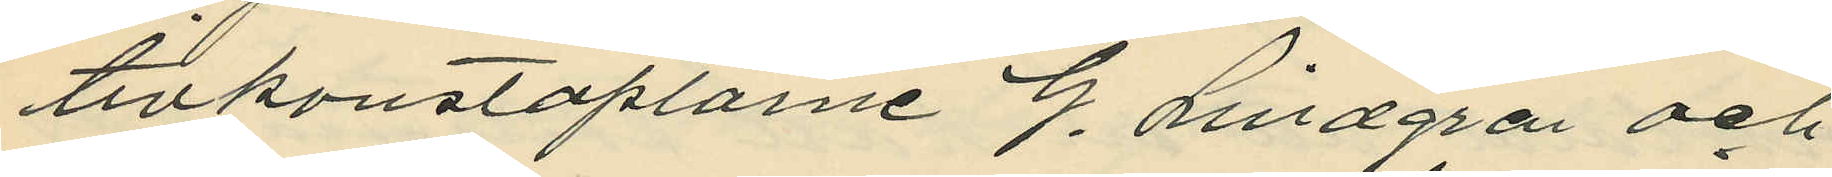tivkonstaplarne G. Lindgren och
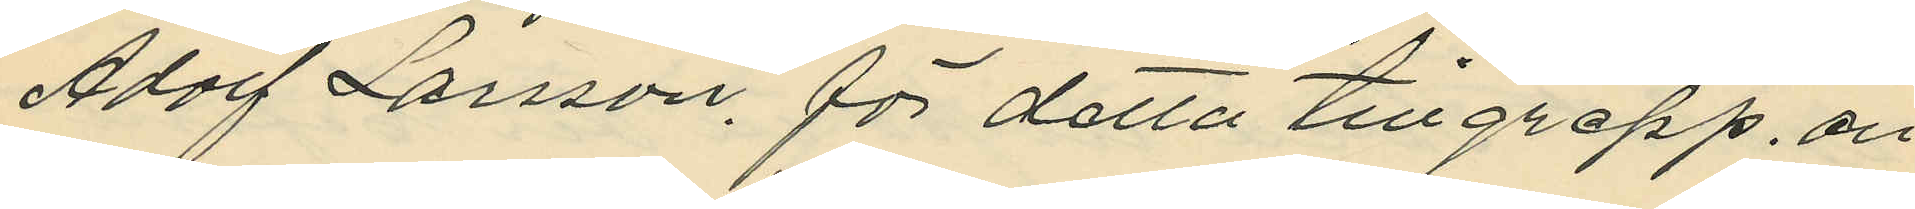Adolf Larsson. för detta tillgrepp. an
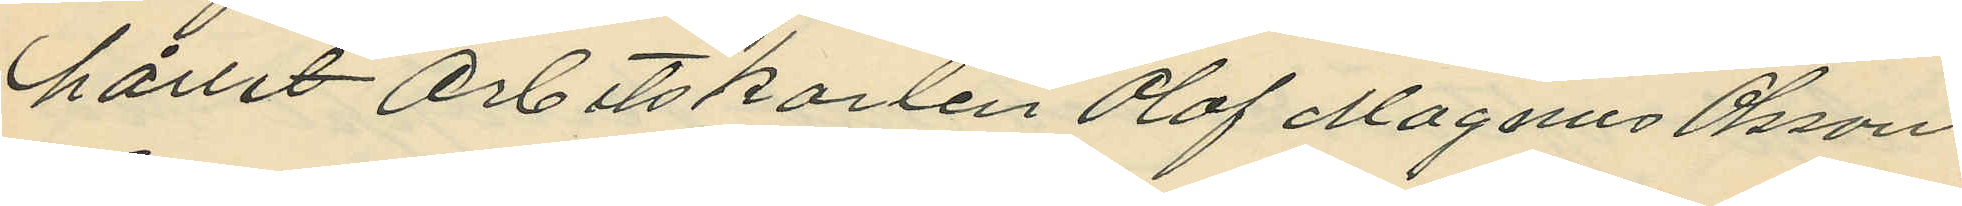hållit Arbetskarlen Olof Magnus Olsson
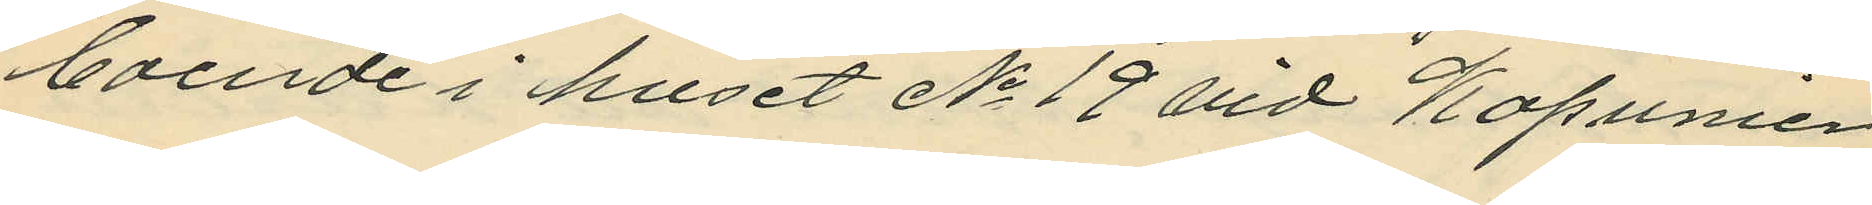boende i huset No 19 vid Kapunier
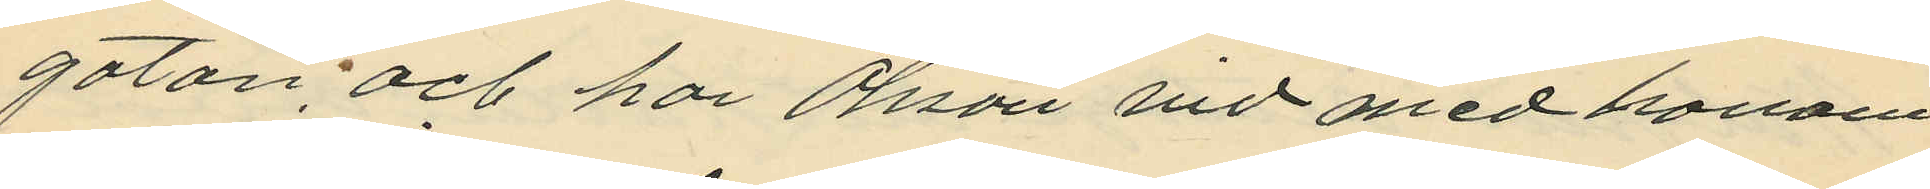gatan, och har Olsson vid med honom
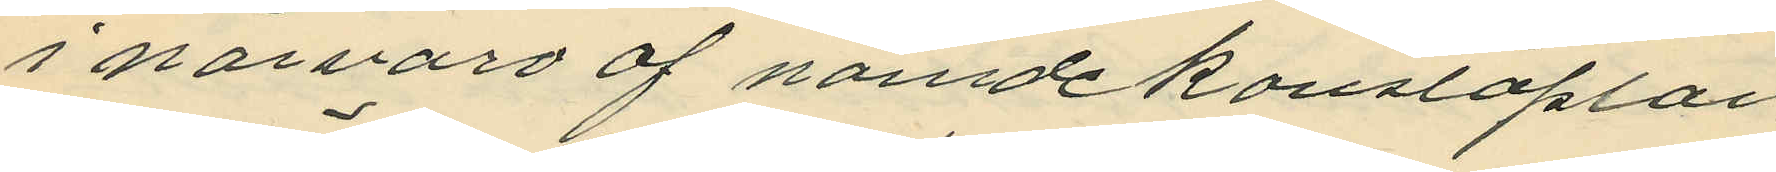i närvaro af namde konstaplar
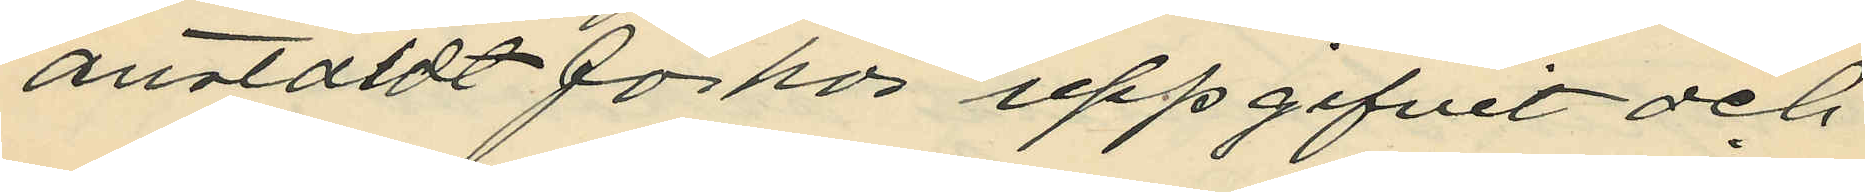anstäldt förhör uppgifvit och
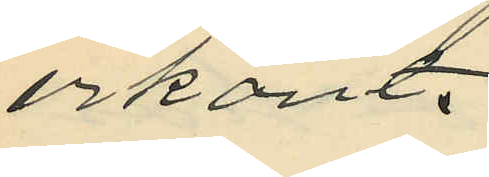erkänt,
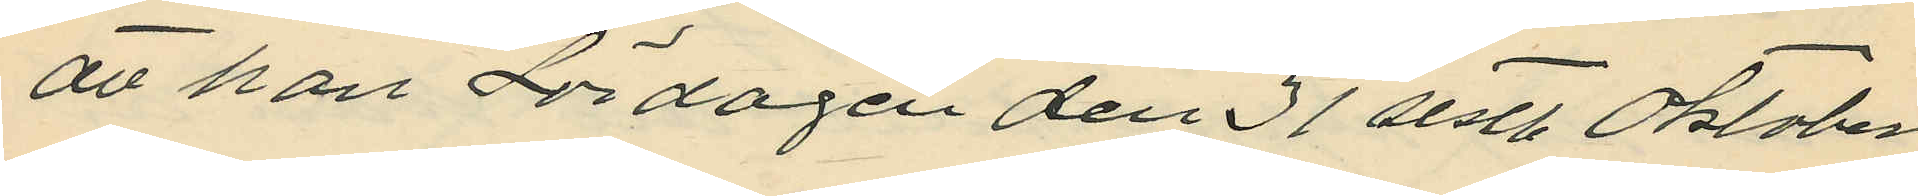att han Lördagen den 31 sistl. Oktober
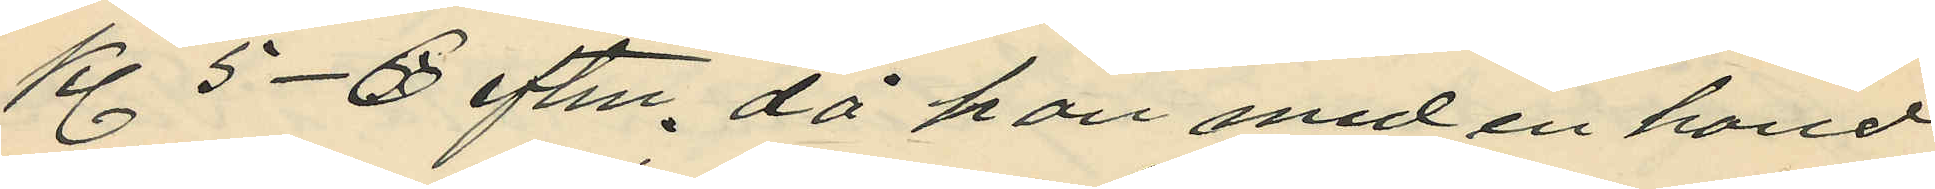kl. 5-6 eftm. då han med en hand
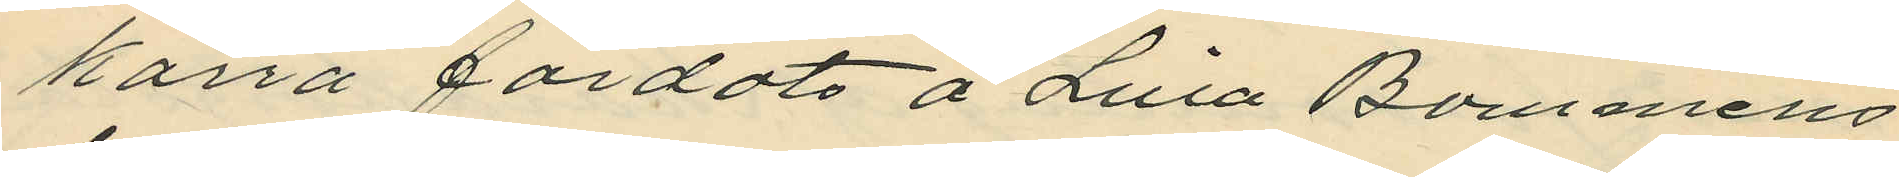kärra färdats å Lilla Bommens
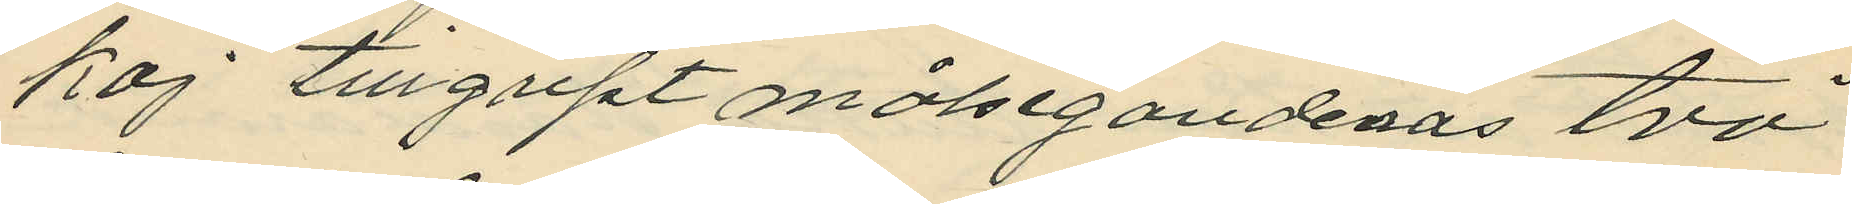kaj tillgript målsegandenas två
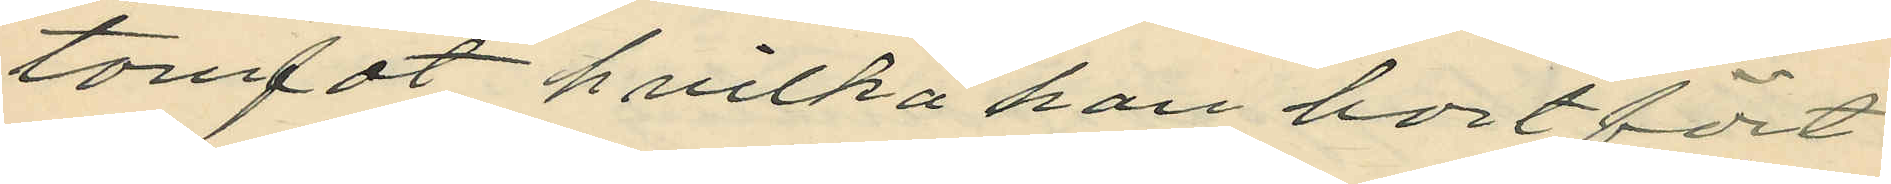tomfat. hvilka han bortfört
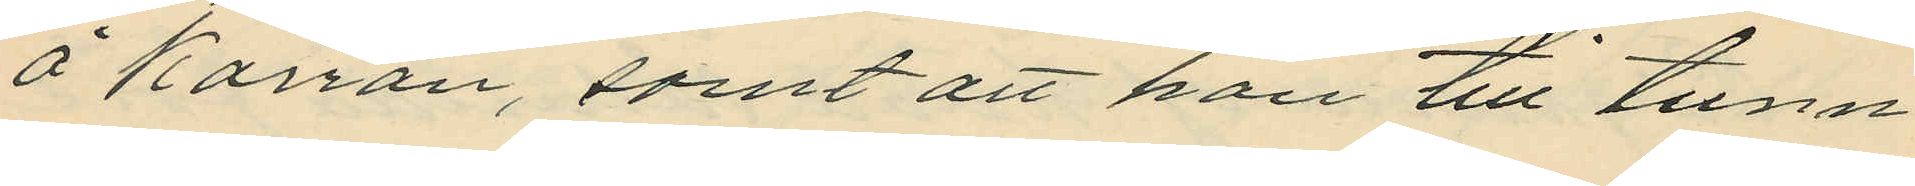å Kärran, samt att han till tunn
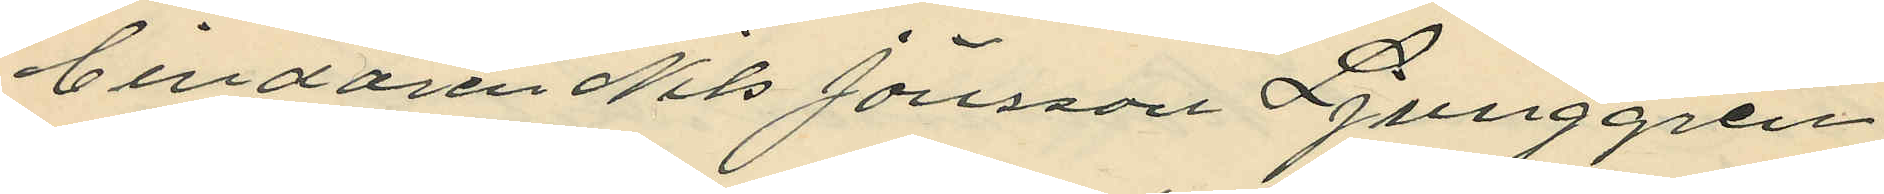bindaren Nils Jönsson Ljunggren
